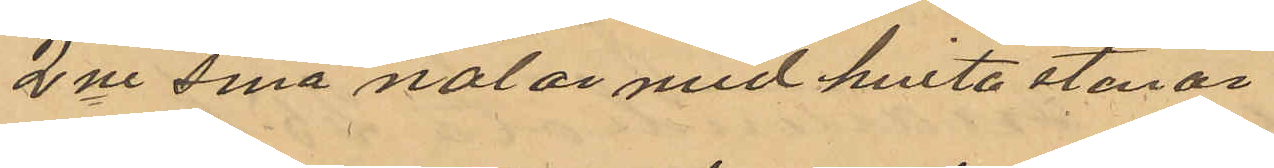2ne små nålar med hvita stenar
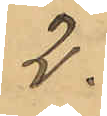2.
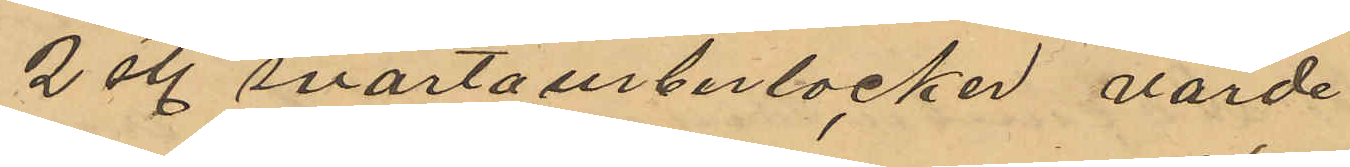2 st. svarta urberlocker värde
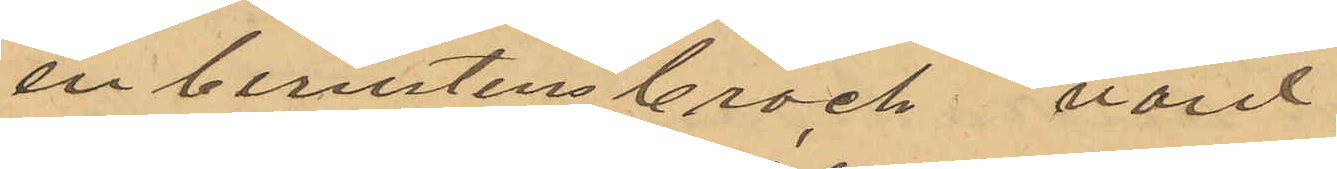en bernstensbroch värd
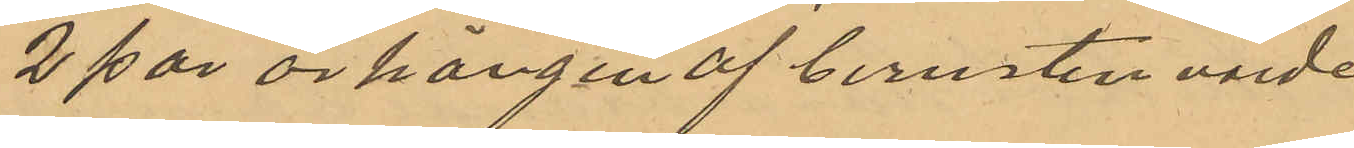2 par örhängen af bernsten värde
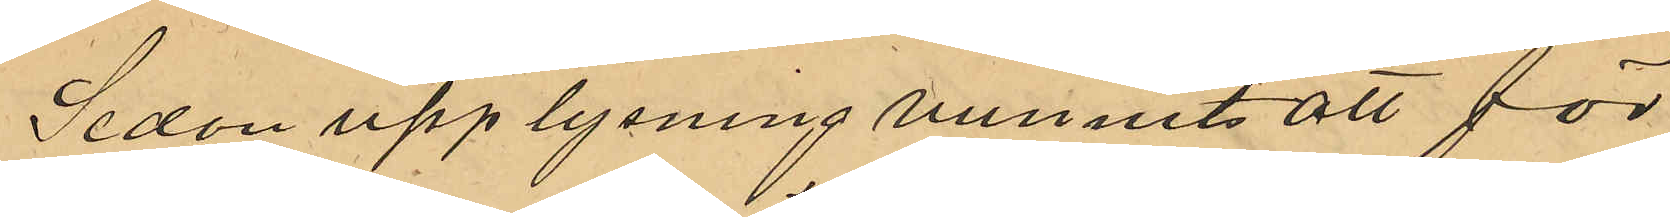Sedan upplysning vunnits att för
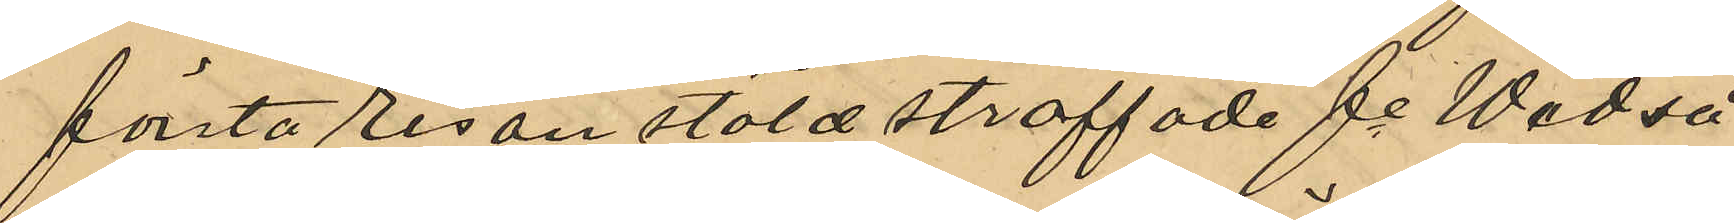första resan stöld straffade fe Wedså
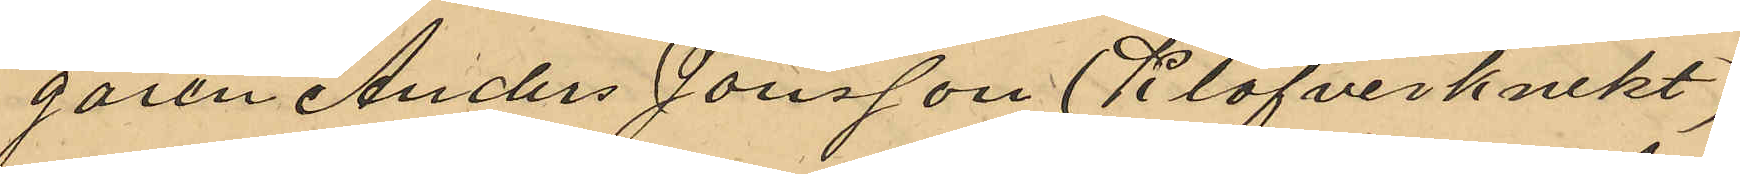garen Anders Jonsson (Klöfverknekt)
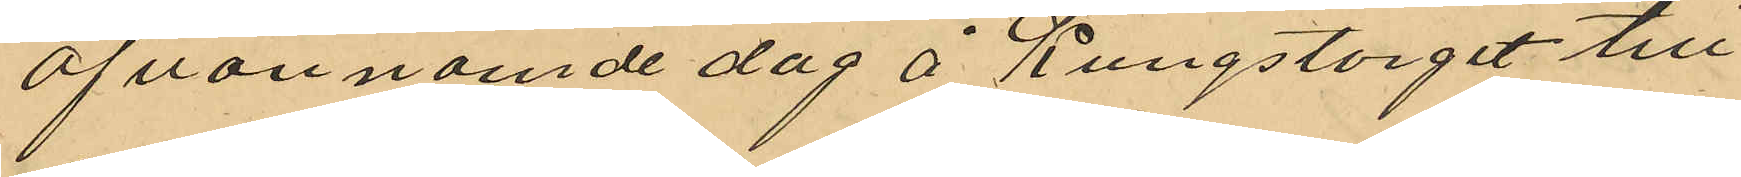ofvannämde dag å Kungstorget till
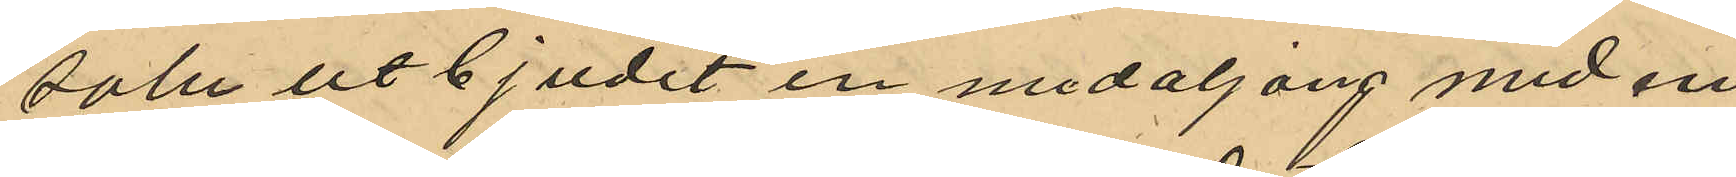salu utbjudit en medaljong med en
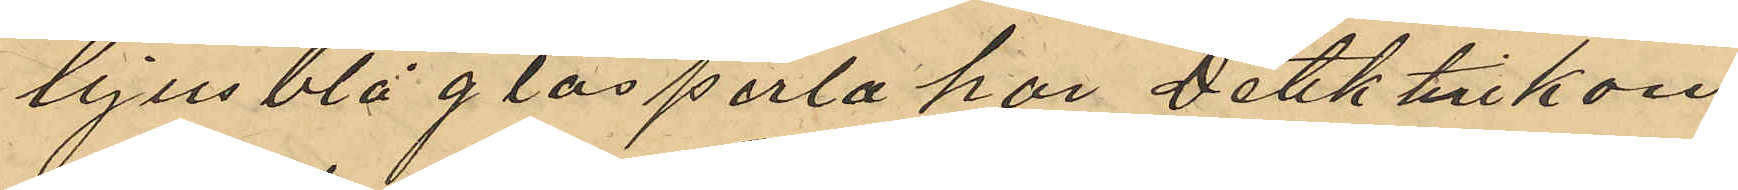ljusblå glasperla har Detektivkon¬
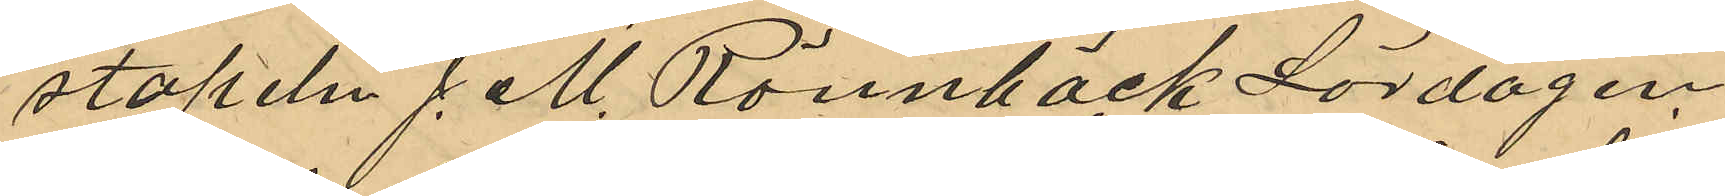stapeln J. M. Rönnbäck Lördagen
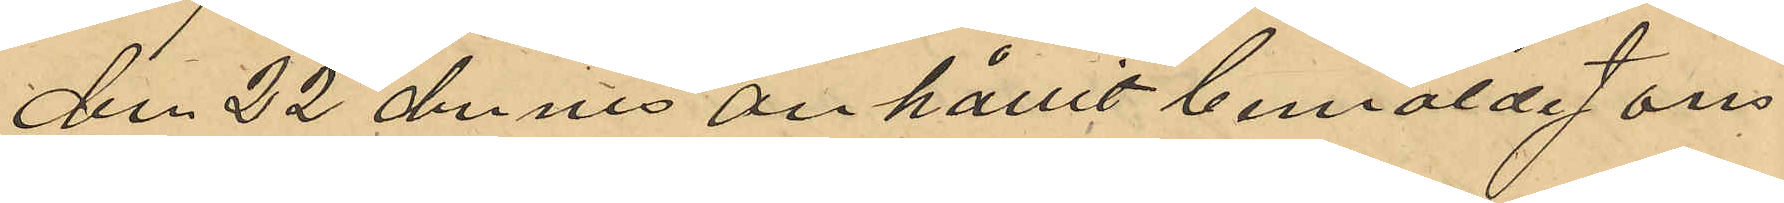den 22 dennes anhållit bemälde Jons
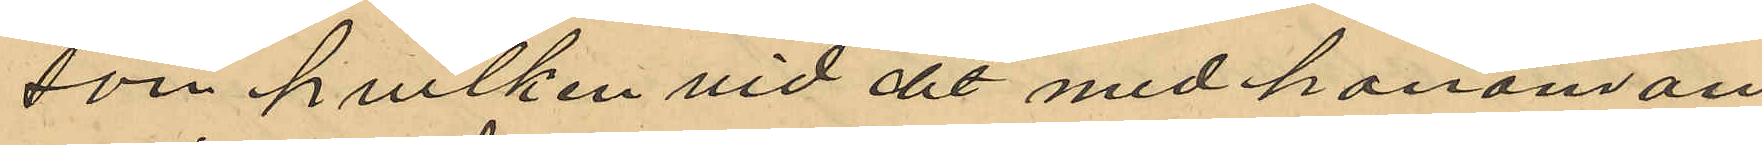son hvilken vid det med honom an¬
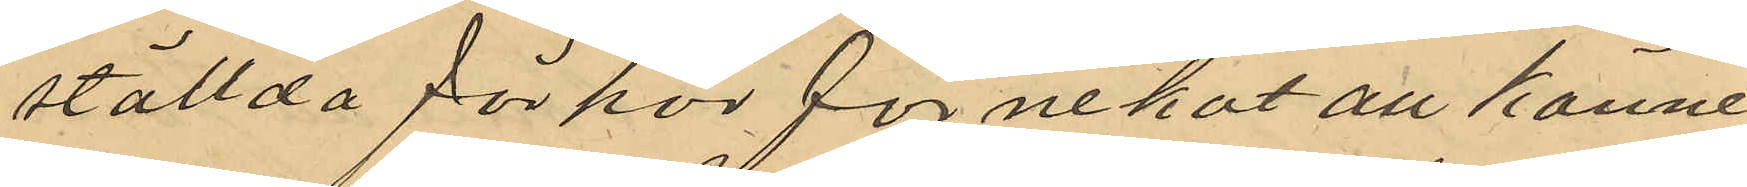ställda förhör förnekat all känne
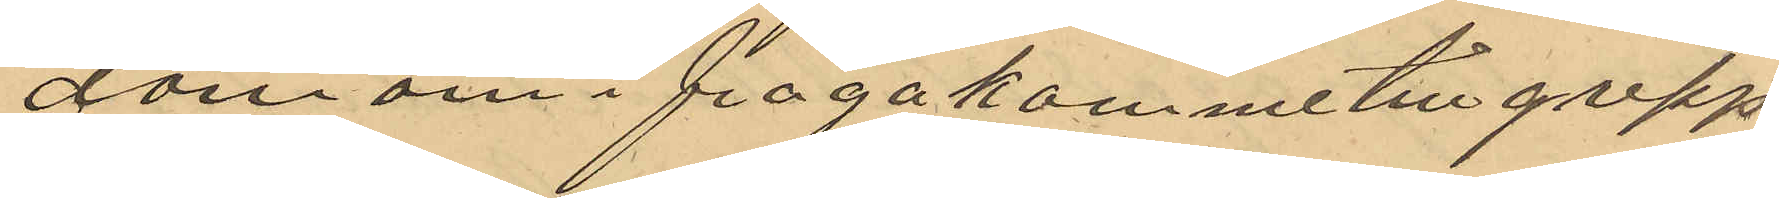dom om ifrågakomme tillgrepp
